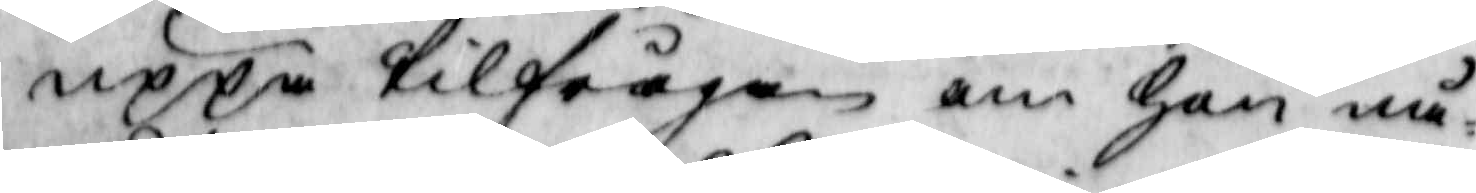uppå tilfrågan om hon nå¬
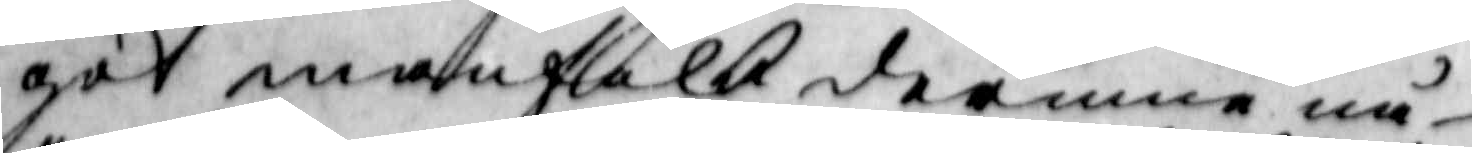got manfolk derinne nå¬
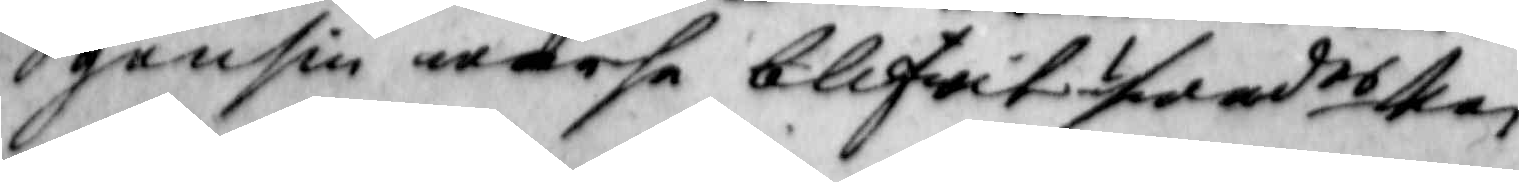gensin warse blifwit? swades Nei
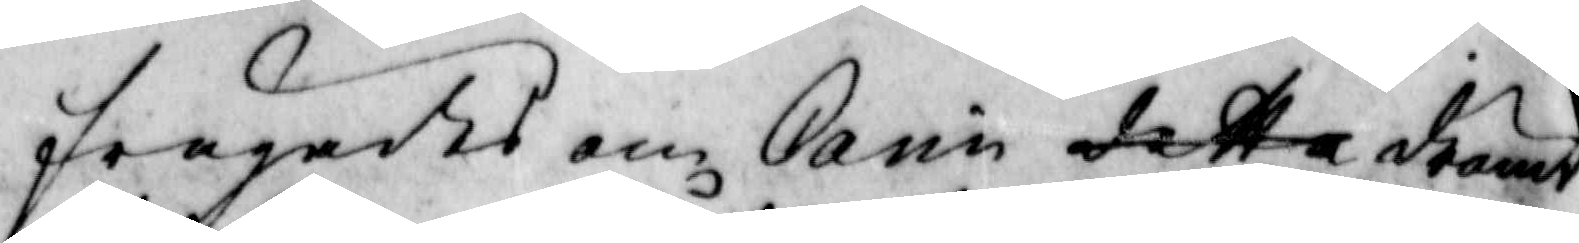frågades om Carin detta drömt
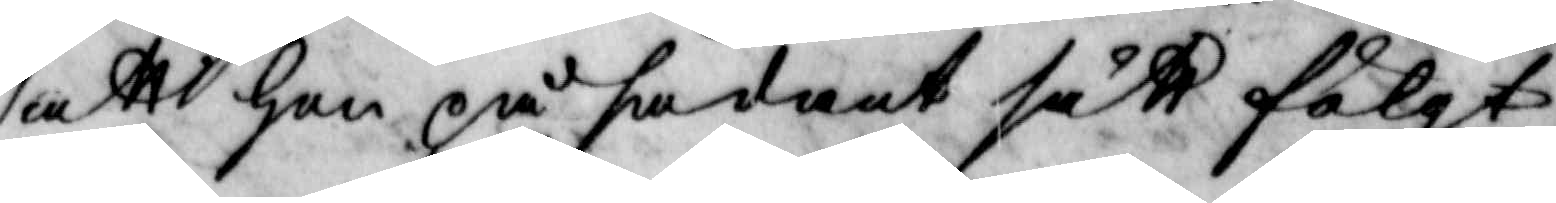att hon på sådant sätt fölgt
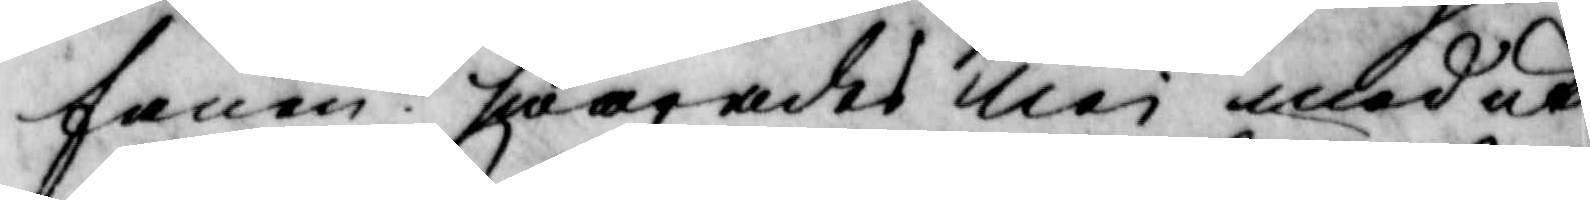fanen? swarades Nei med ut¬
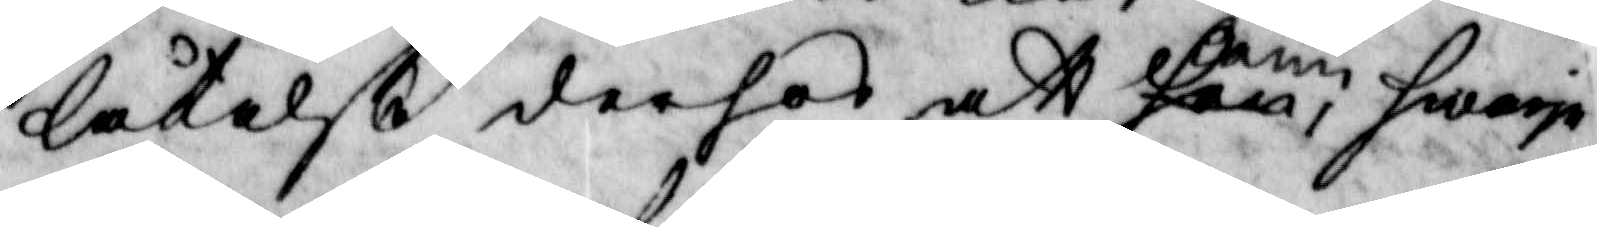låtelße derhos att hon Carin hwarje
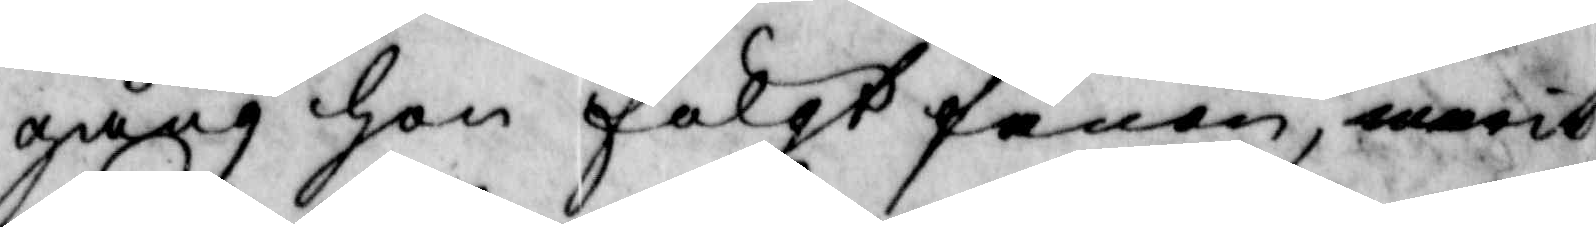gång hon fölgt fanen, warit
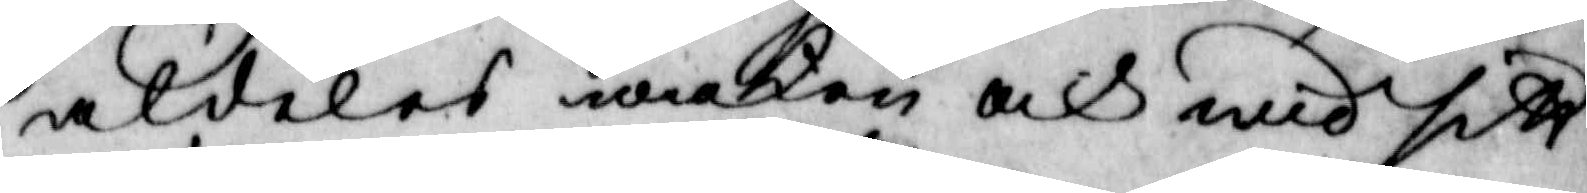aldeles waken och wid sitt
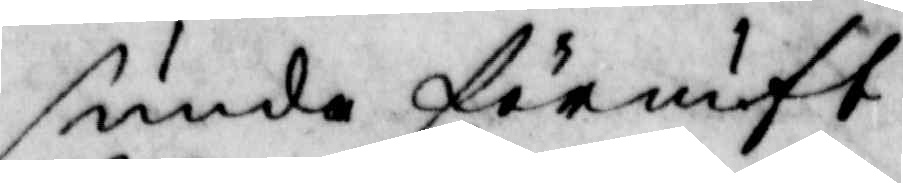sunda förnuft.
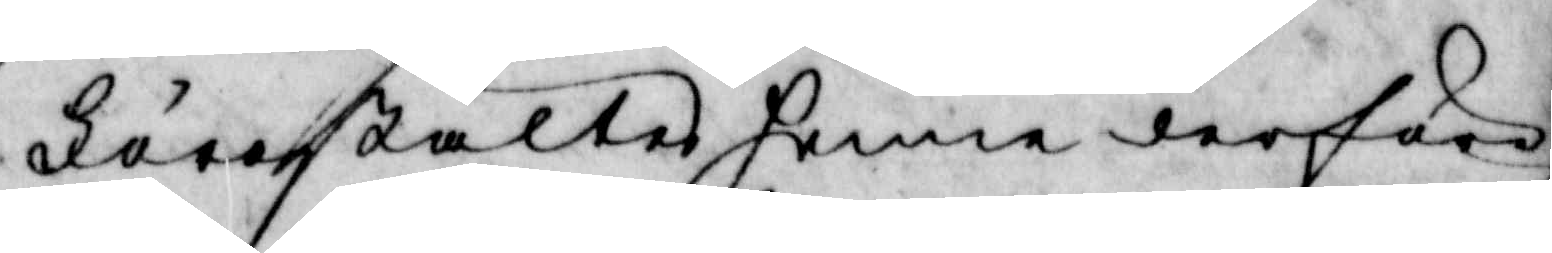Förestältes henne derföre,
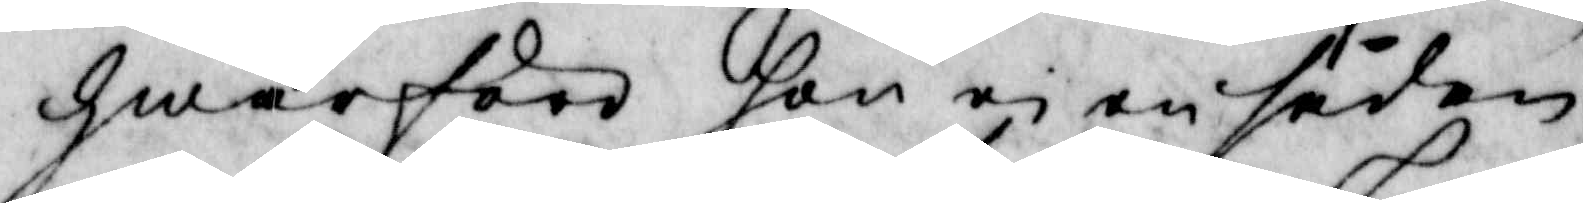hwarföre hon i en sådan
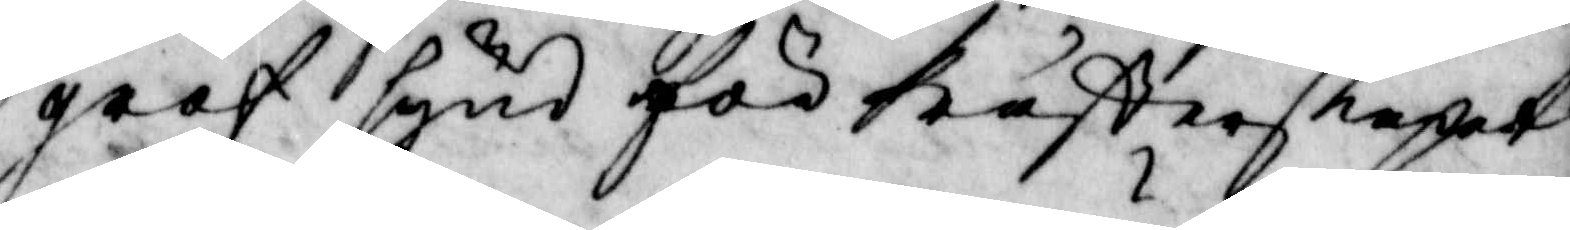grof synd för Prästerskapet,
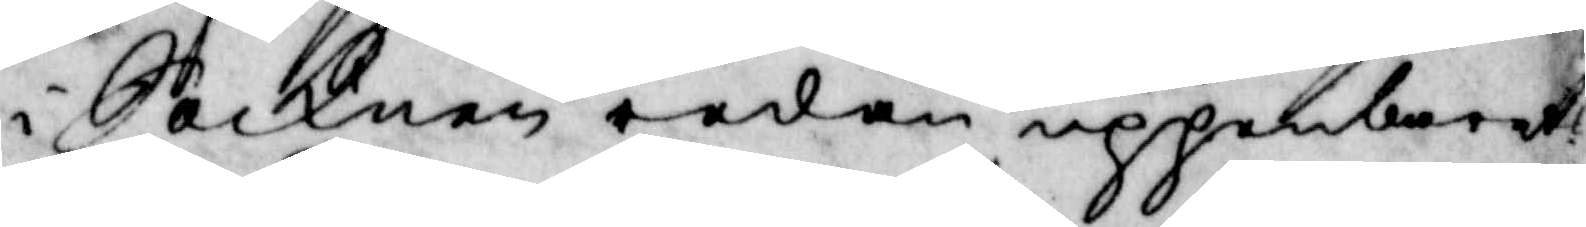i Socknen redan uppenbarat?
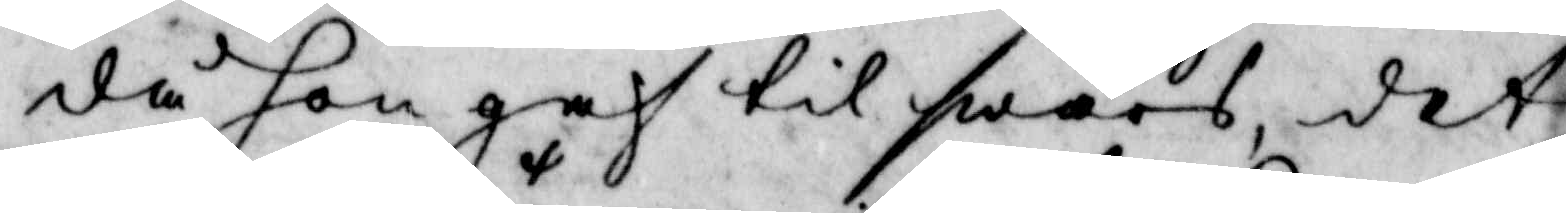då hon gaf till swars, det
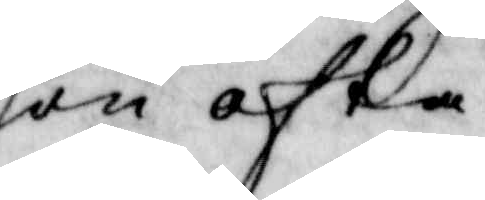hon ofta 
